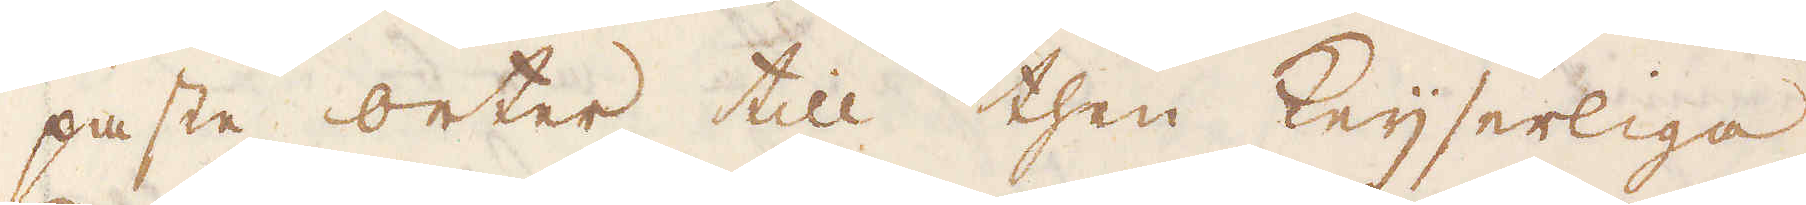paste orter till then Keijserliga
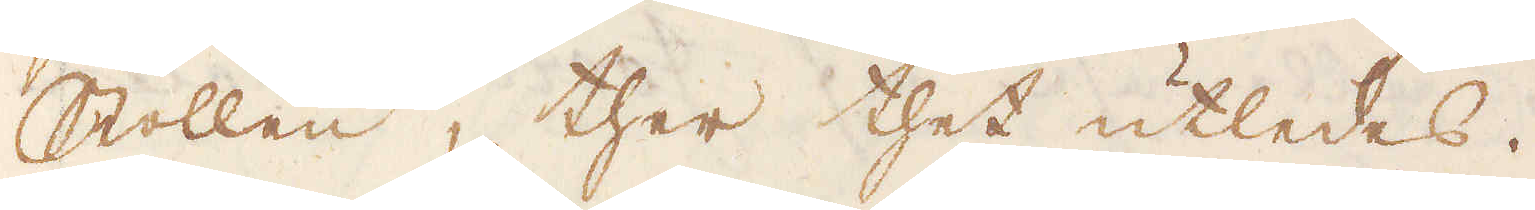Stollen, ther thet utledes.
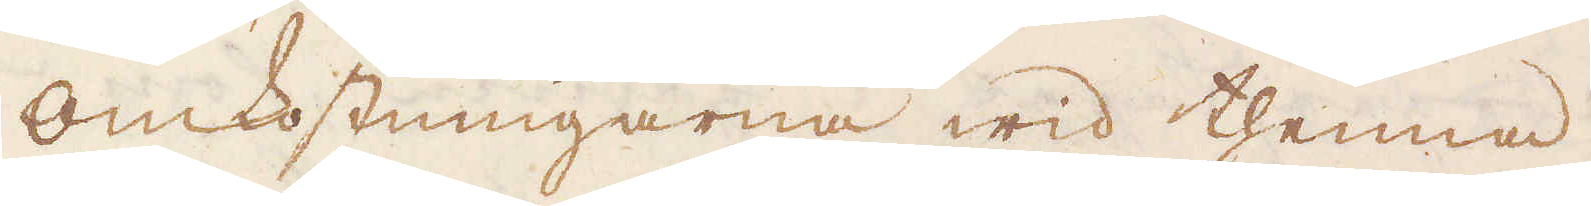Omkostningarne wid thenna
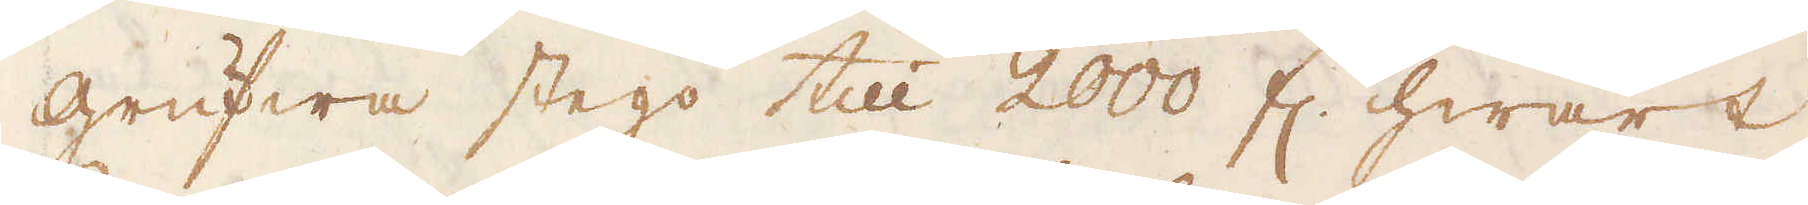grufwa stego till 2000 fl. hwart
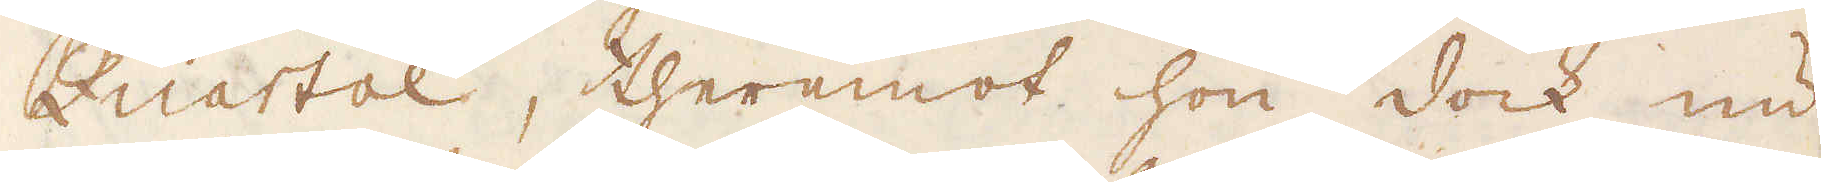Quartal, theremot hon dock nu
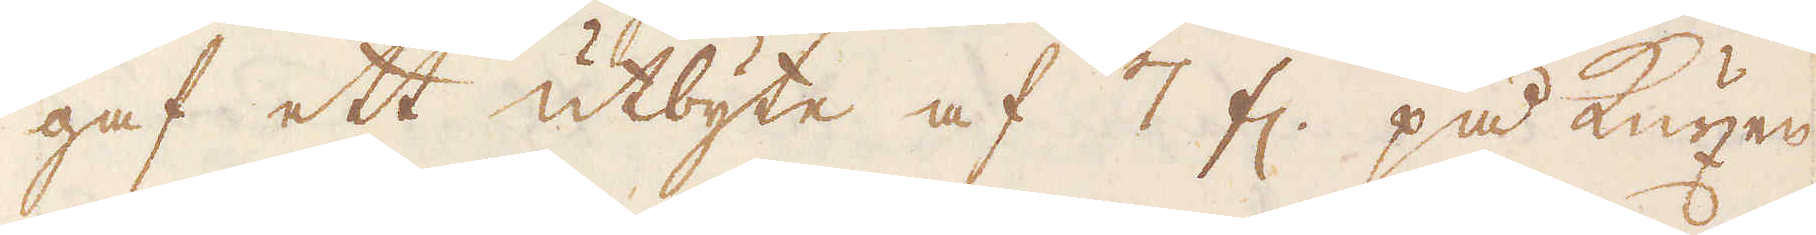gaf ett utbyte af 7 fl. på Kuxen
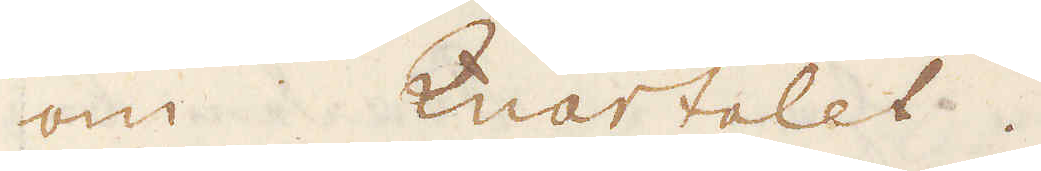om Quartalet.
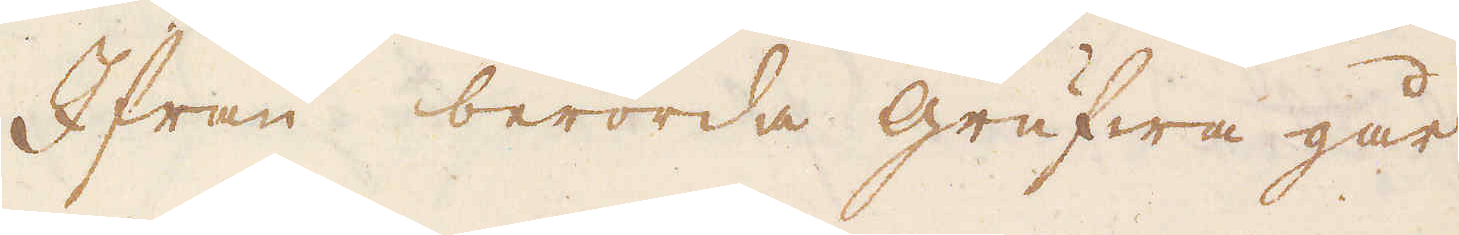Ifrån berörda grufwa går
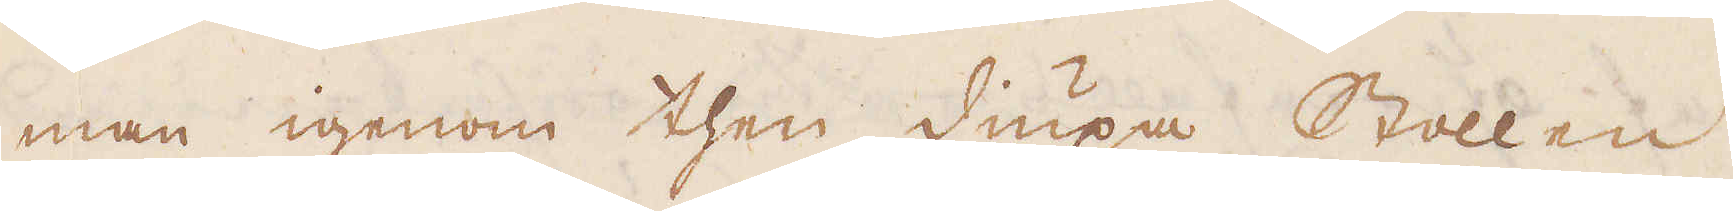man igenom then diupa Stollen
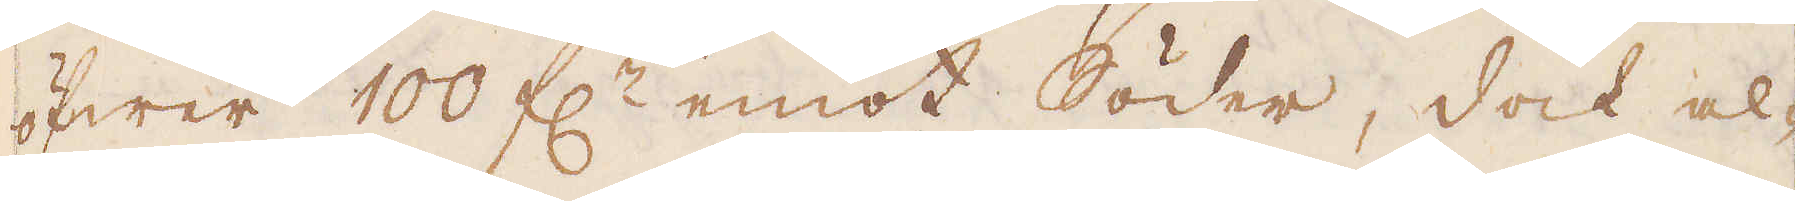öfwer 100 f:r emot Söder, dock al-
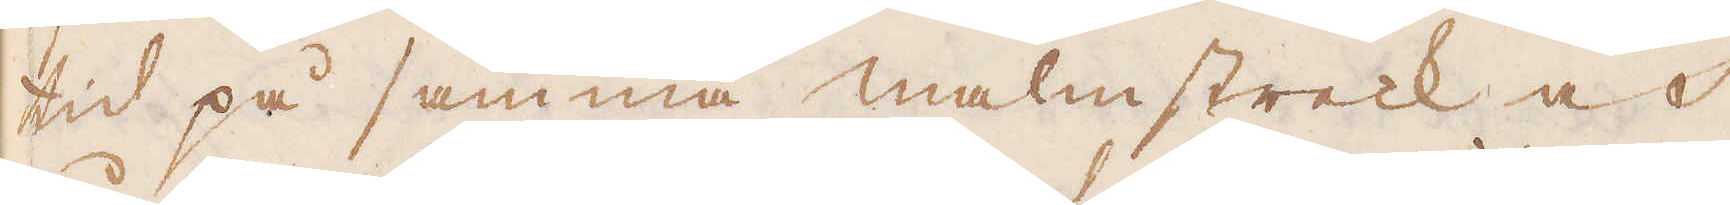tid på samma malmstreck och
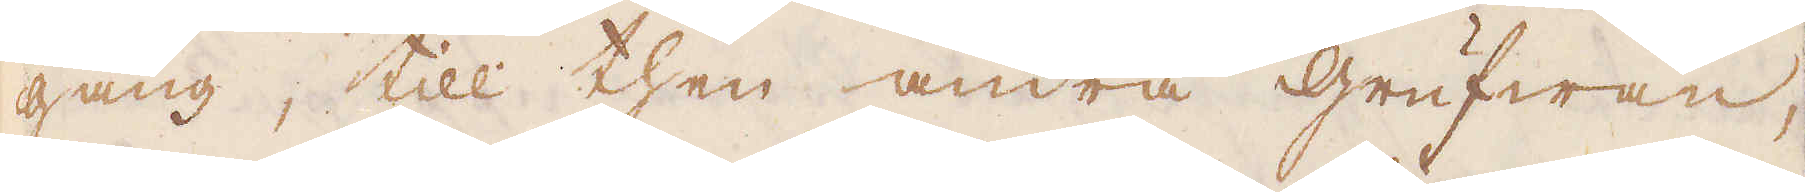gång, till then andra grufwan,
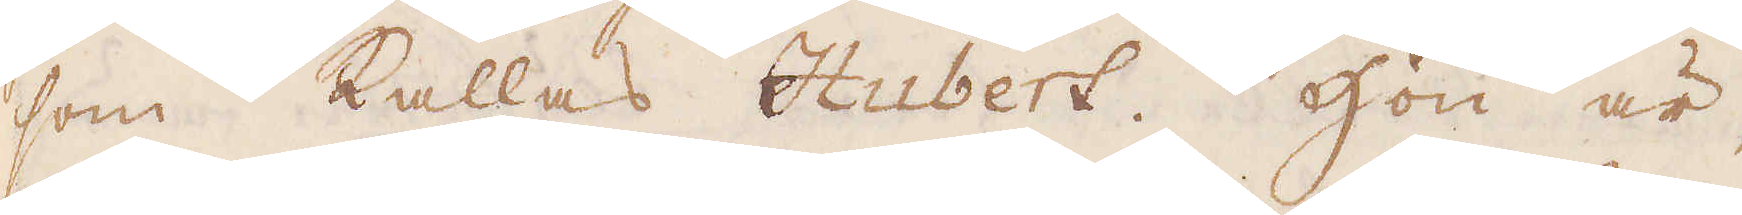som kallas Hubert. Hon är,
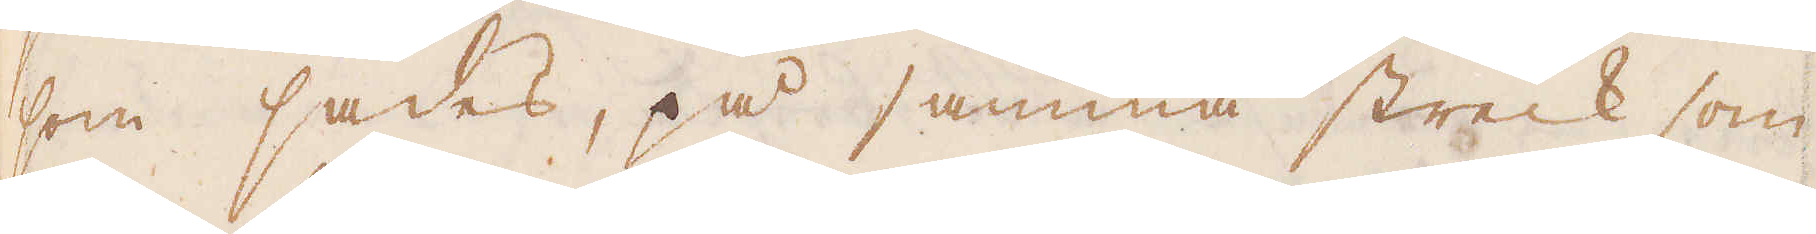som sades, på samma streck som
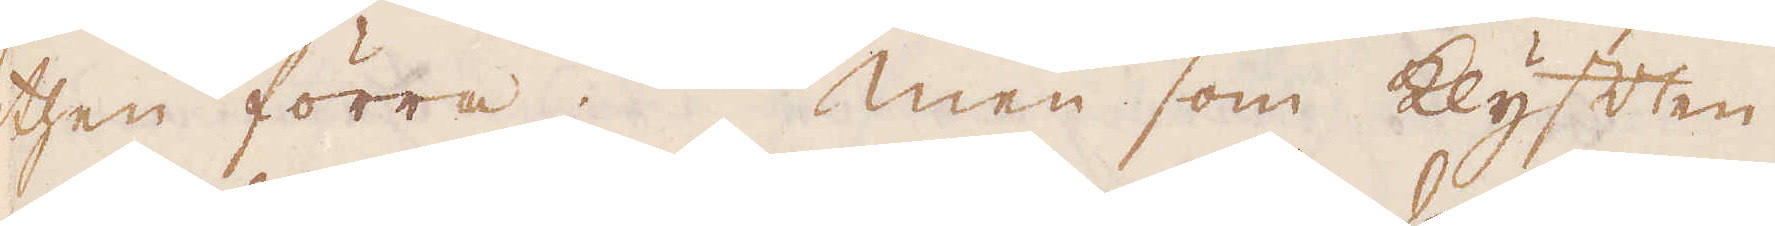then förra. Men som klyften
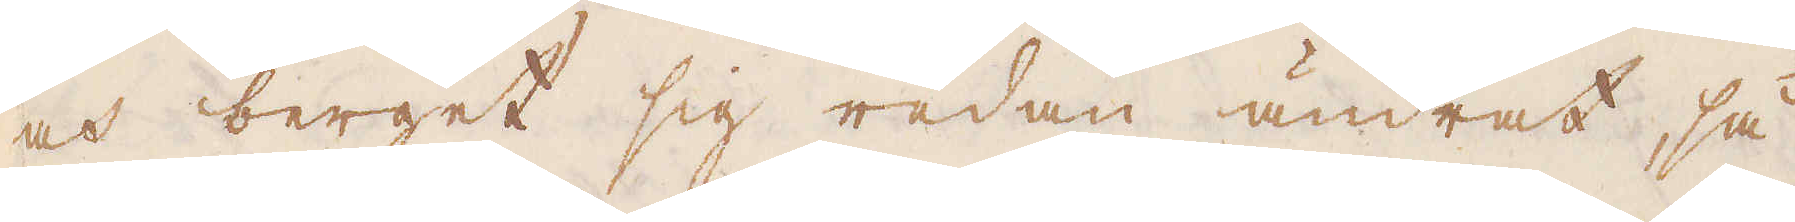och berget sig redan ändrat, så
